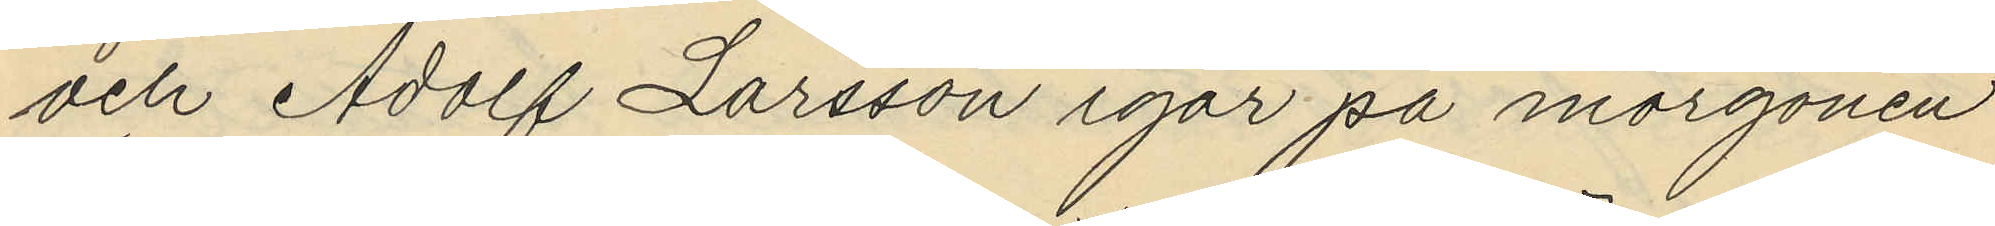och Adolf Larsson igår på morgonen
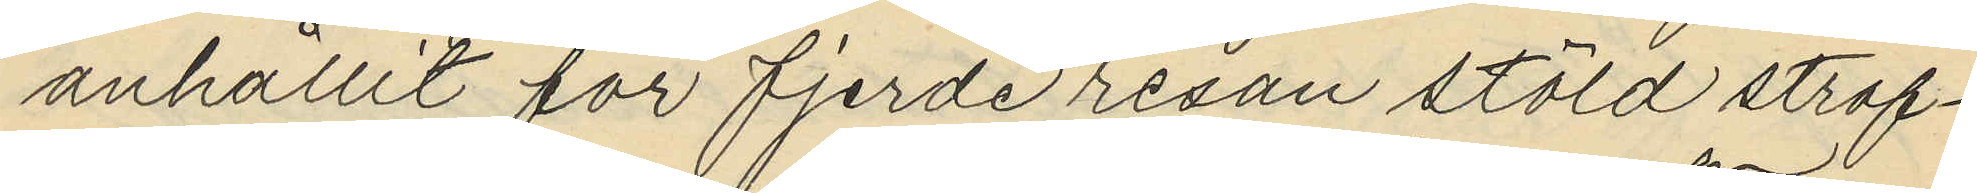anhållit för fjerde resan stöld straf¬
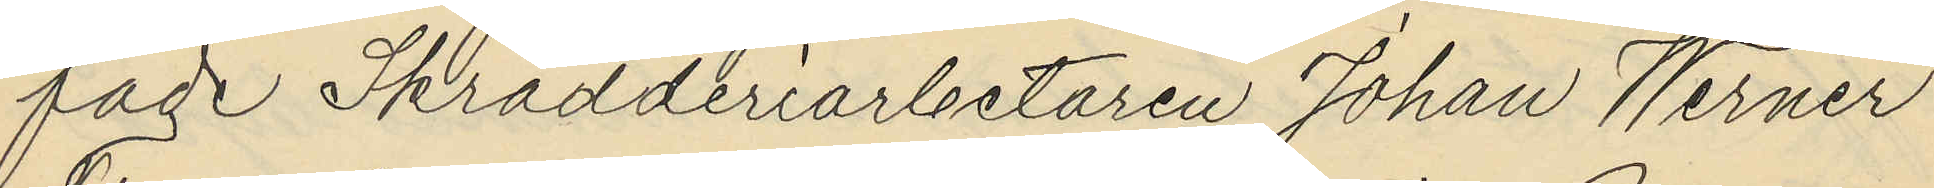fade Skrädderiarbetaren Johan Werner
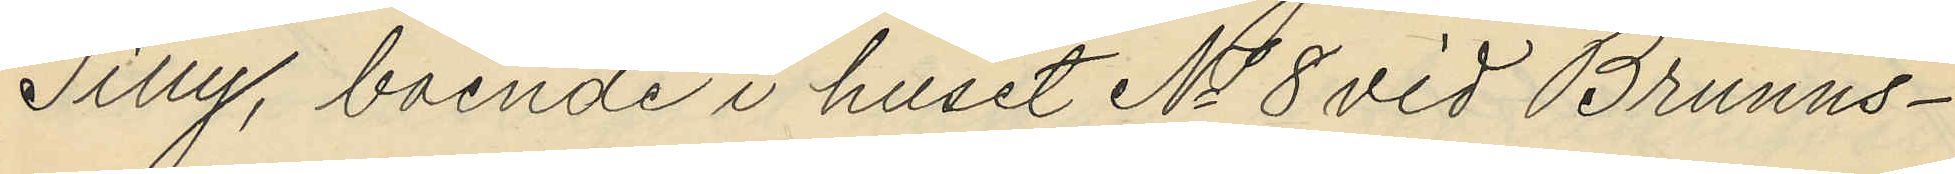Tilly, boende i huset No 8 vid Brunns¬
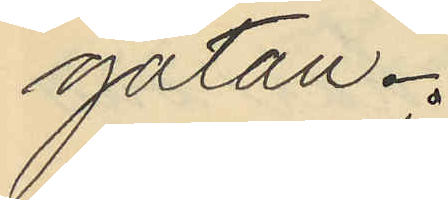gatan.
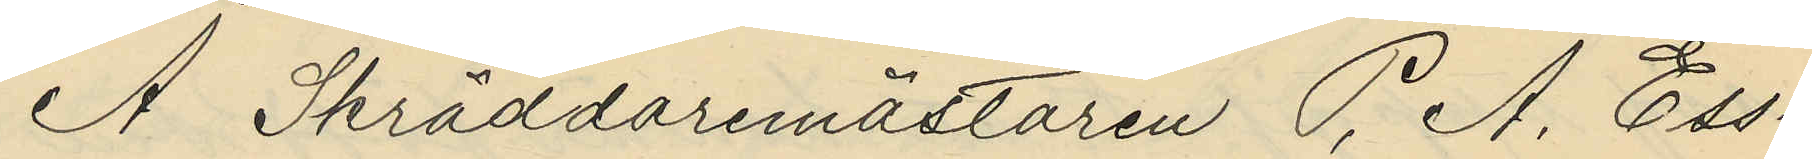Å Skräddaremästaren P. A. Ess¬
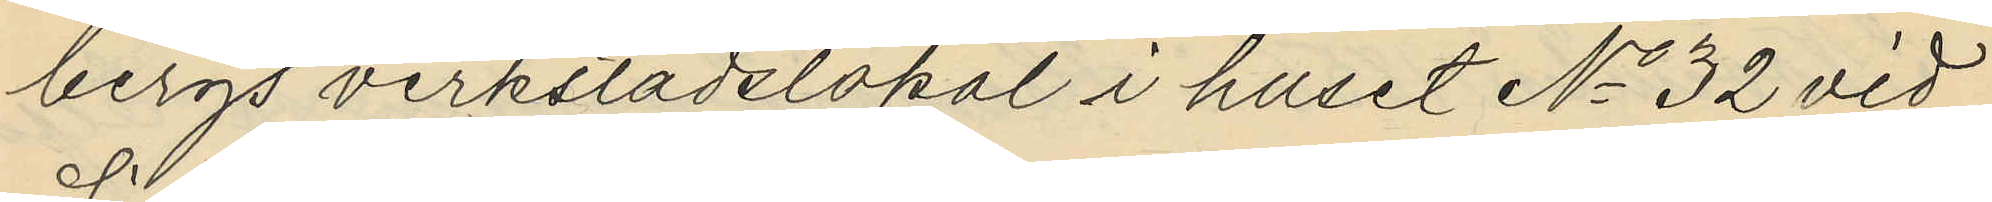bergs verkstadslokal i huset No 32 vid
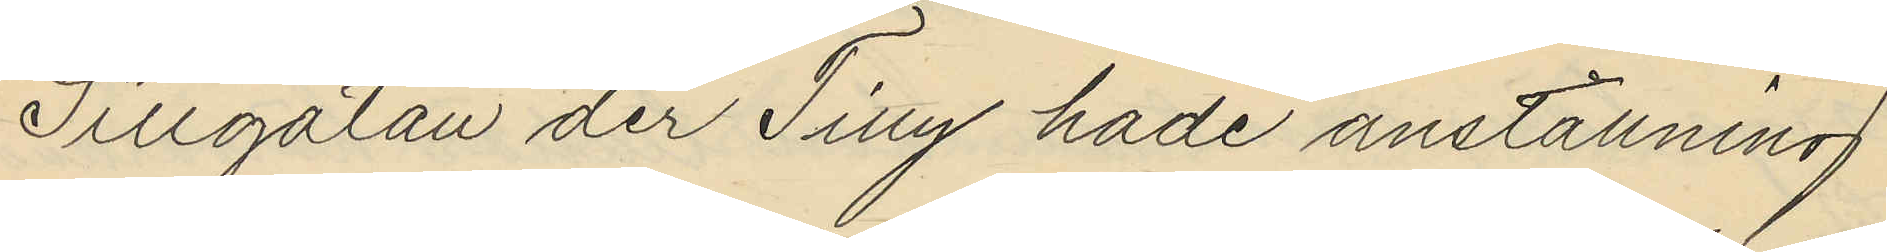Sillgatan der Tilly hade anställning
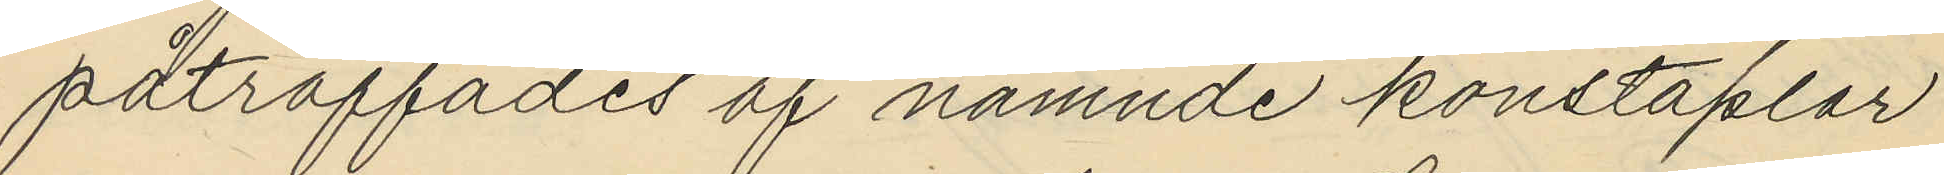påträffades af nämnde konstaplar
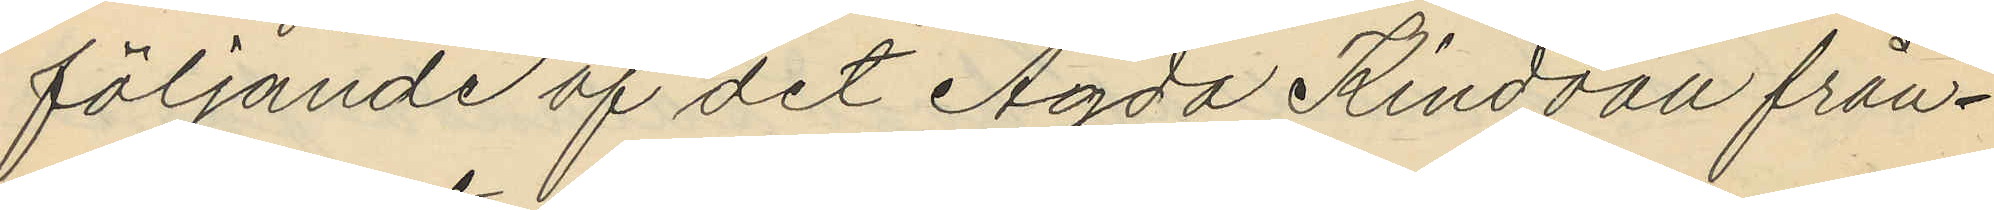följande af det Agda Rindvall från¬
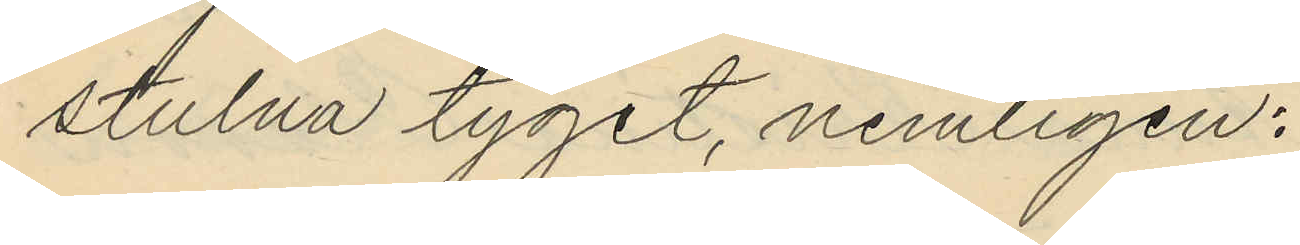stulna tyget, nemligen:
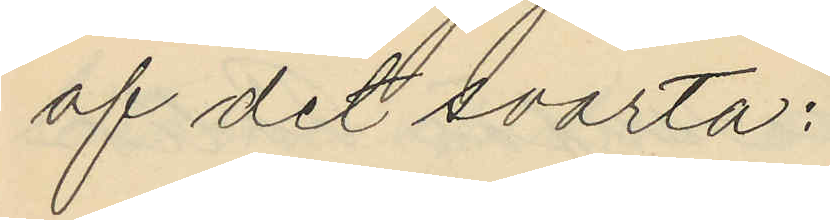af det svarta:
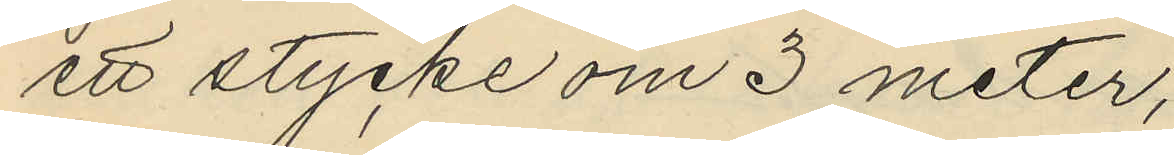ett stycke om 3 meter,
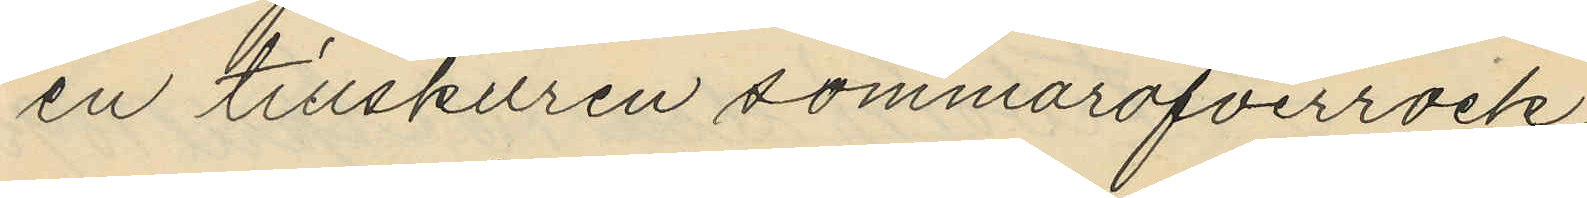en tillskuren sommaröfverrock
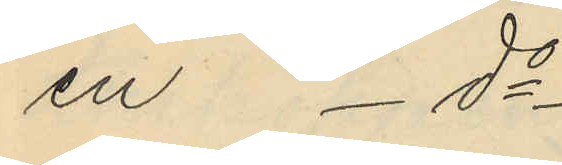en - do -
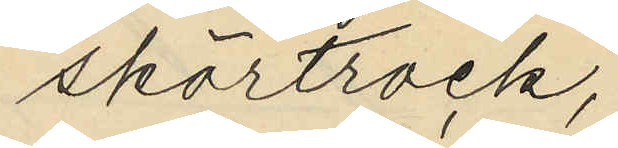skörtrock;
